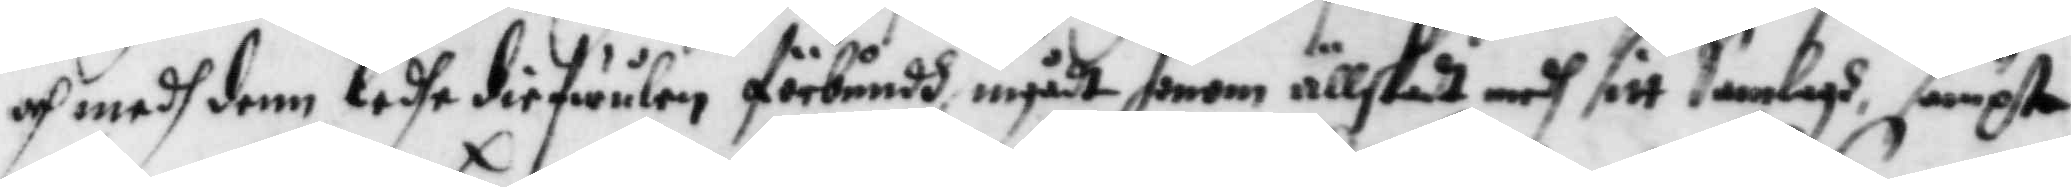och medh denn ledhe diefwulen förbundh ingådt honom ällskadt medg sitt samlagh sampt
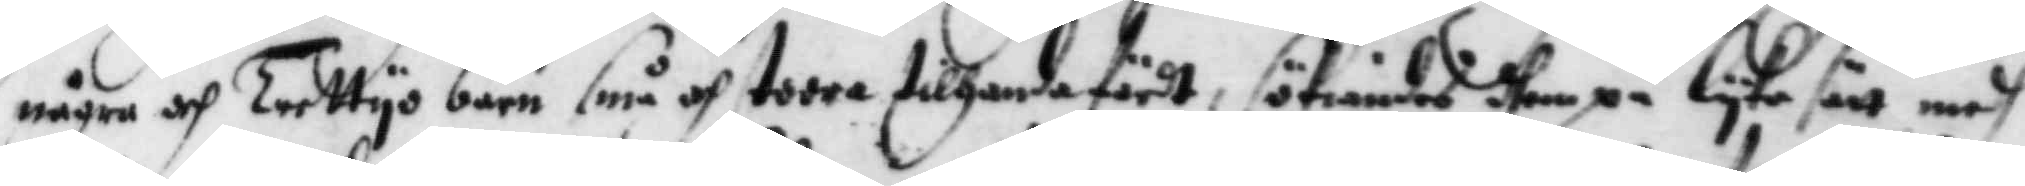någon och Trettyo barn små och stora tillhanda fördt, sökiandes shem på lyka sätt medh
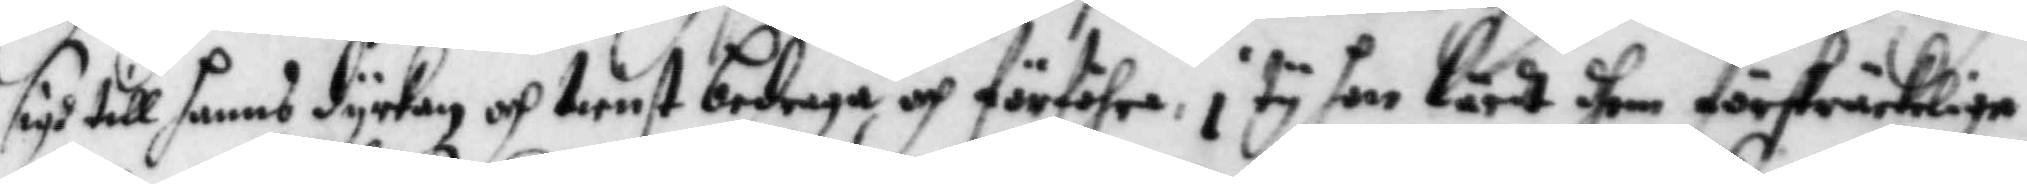sigh till hanns dyrkan och tienst bedraga och förföhra i ty hon lärdt dhem förskräckeliga
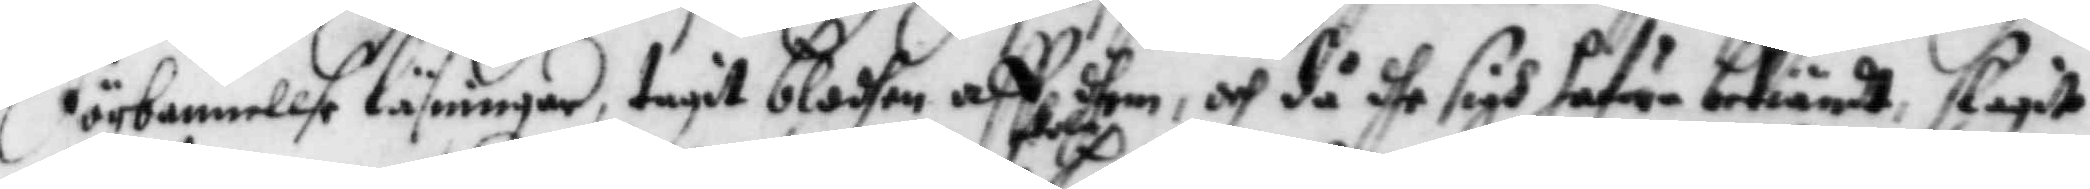förbannellse läsningar, tagit blodhen aff dhem, och då dhe sigh hafva bekiändt, slagit
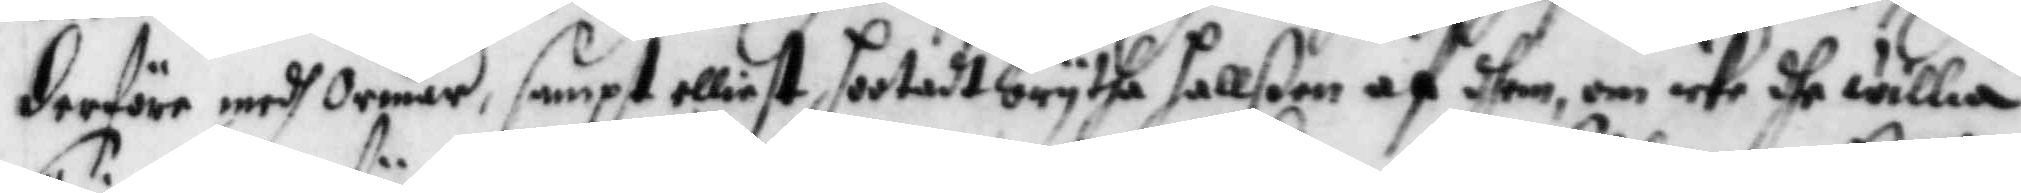derföre medh Ormar, sampt elliest hotadt brytha hallßen af dhem, om icke dhe willia
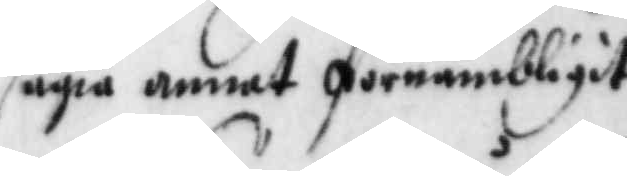sägia annat förnämbligit
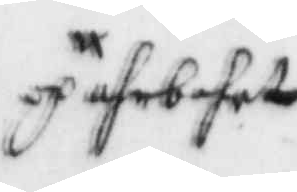och afrbehet
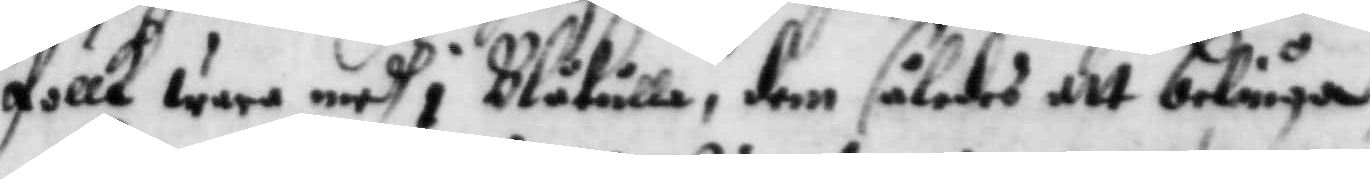follk wara medh i Blåkulla, dem således att beliuga
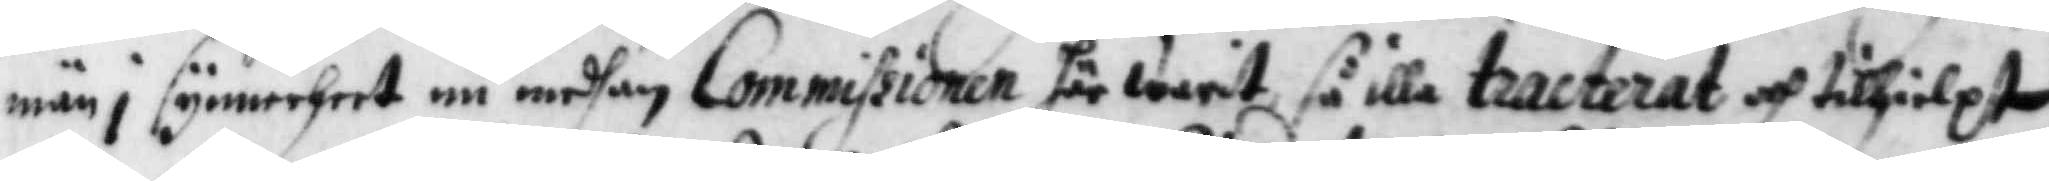män i synnerheet nu medhan Commissionen här warit så illa tracterat och tillhielpt
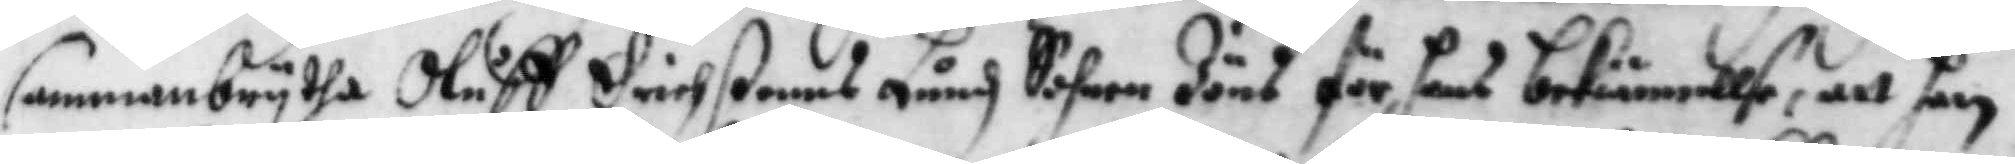sammanbrytha Oluff Ericßonns Lundh Sohn Jöns för hans bekiännellse, att han
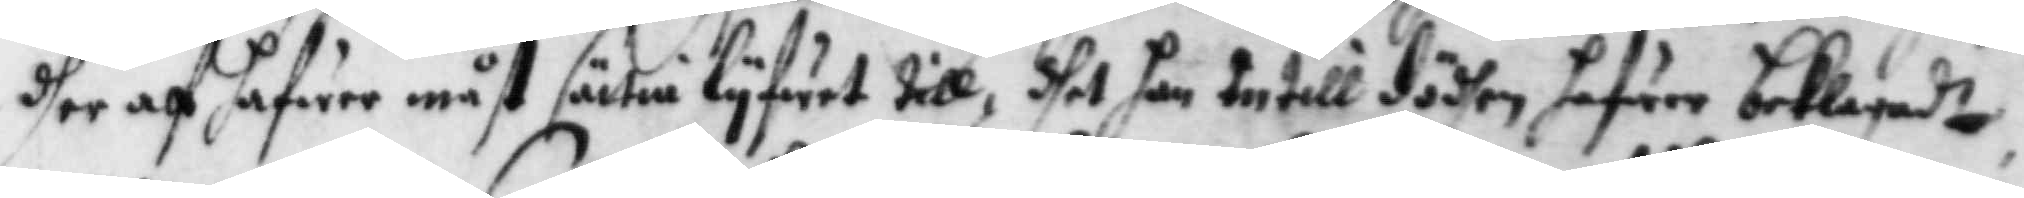dher af hafwer måst sättia lyfwet till, dhet han intill dödhen hafwer beklagadt,
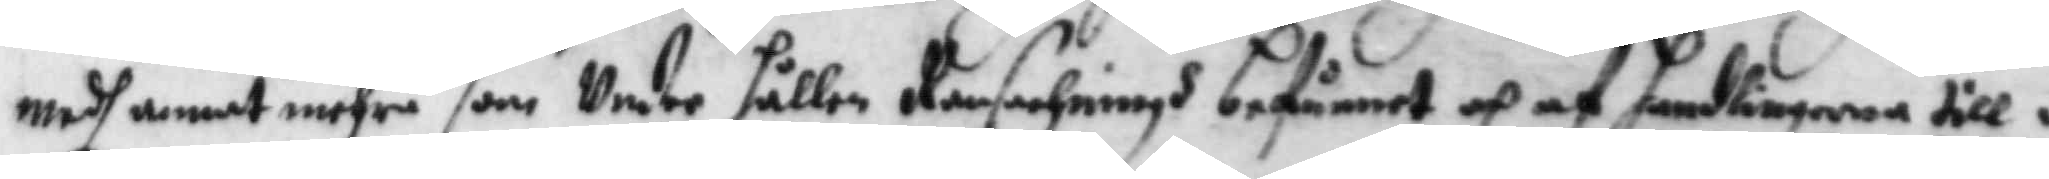medh annat mehra som Under hållen Ransachningh befunnet och af handlingarne till¬
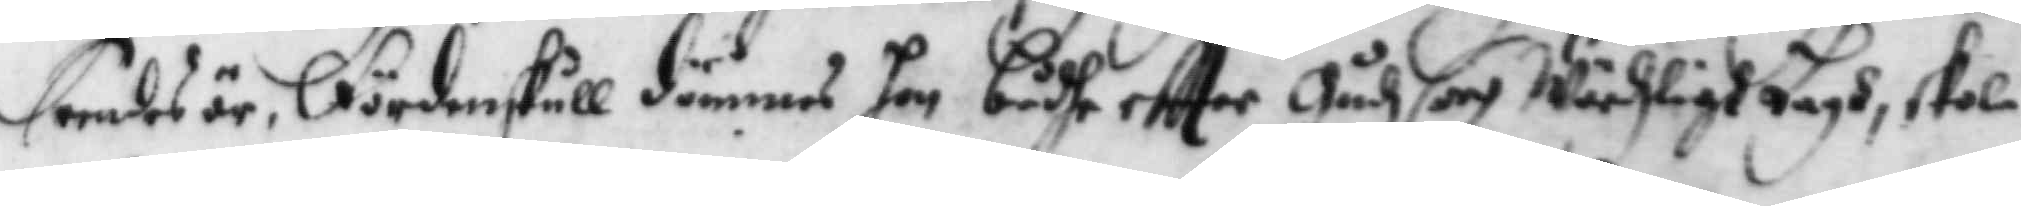seendes är, fördenskull dömmes hon bådhe eftter Gudz och Wärdzligt Lagh, skal
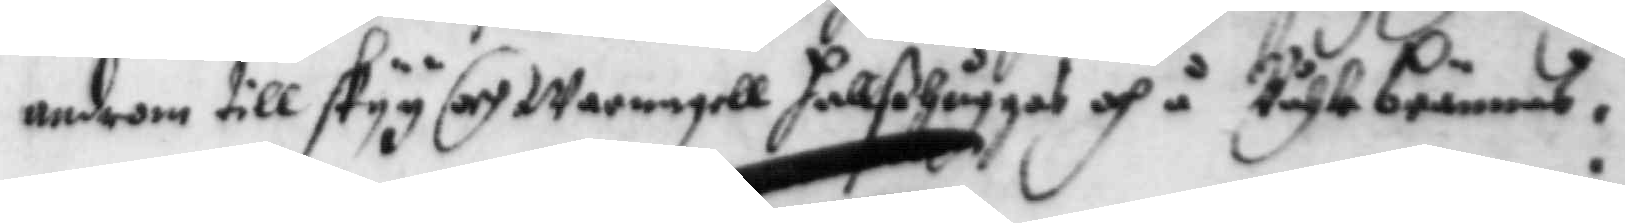androm till skyy och warnagel hallßhuggas och å Båhle brännas:
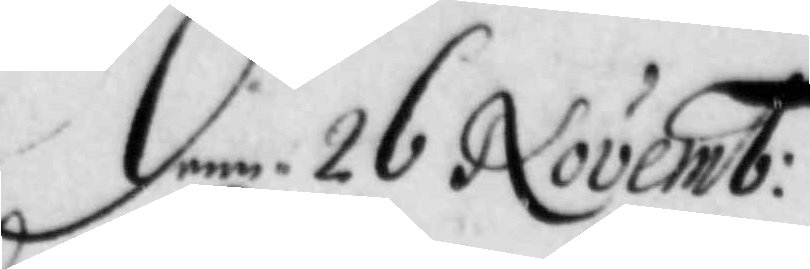denn 26 Novemb:
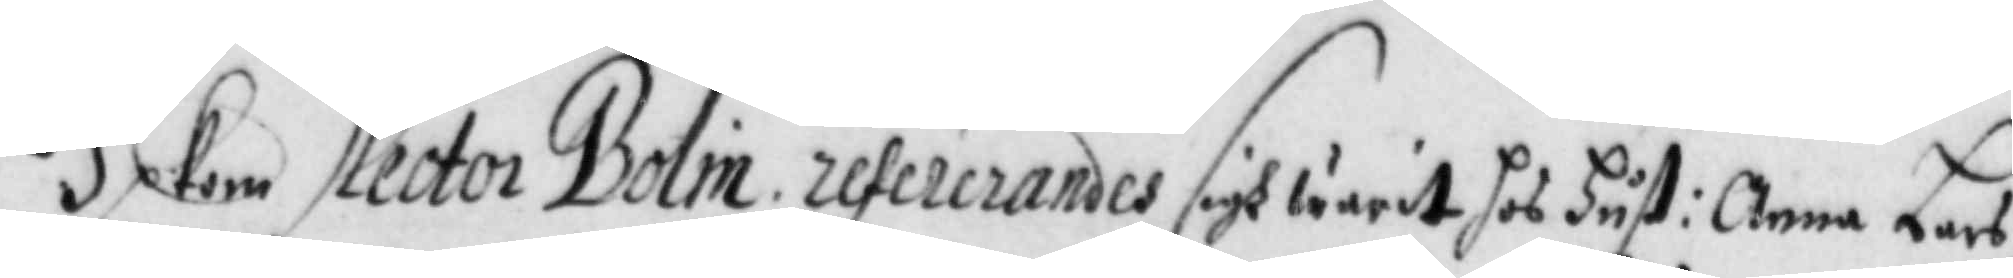Upkom Rector Bolin refererandes sigh warit hos Hust: Anna Lars
